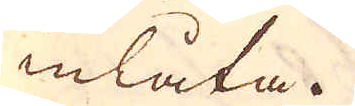inlåta.
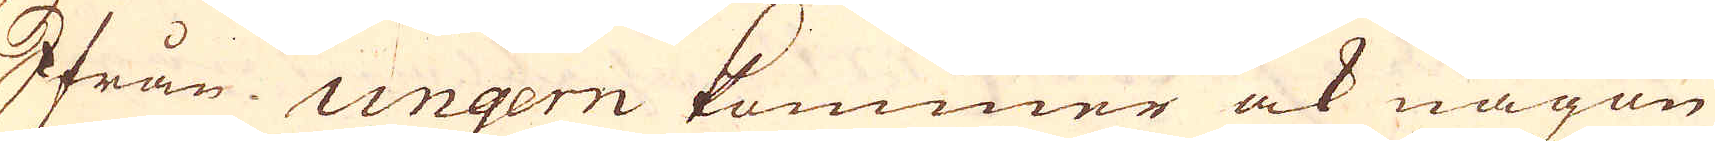Ifrån Ungern kommer ock någon
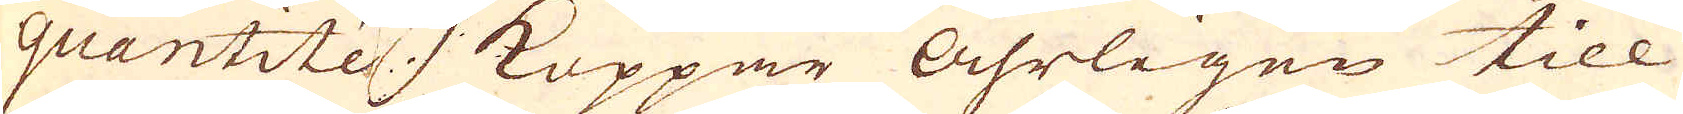quantité koppar åhrligen till
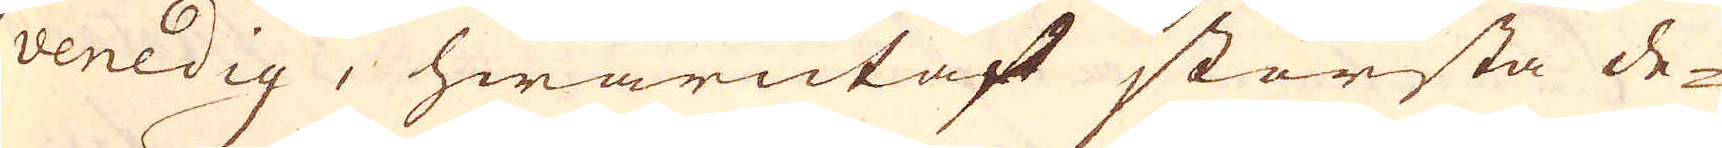venedig, hwarutaf största de-
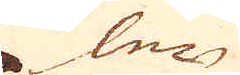len
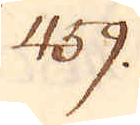459.
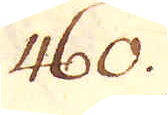460.
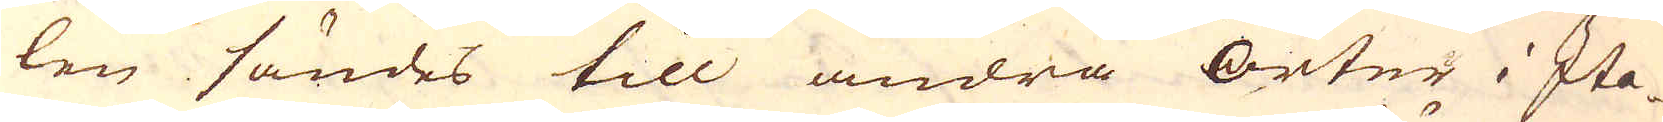len sändes till andra orter i Ita-
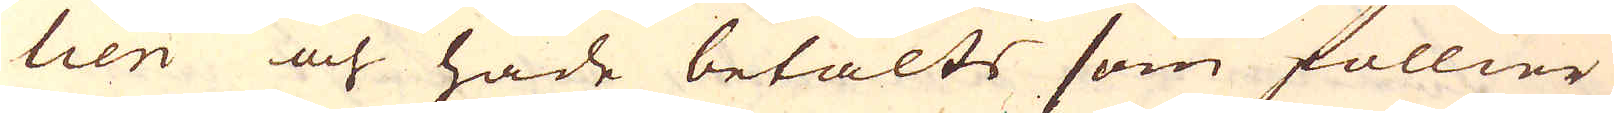lien och hade betalts som föllier
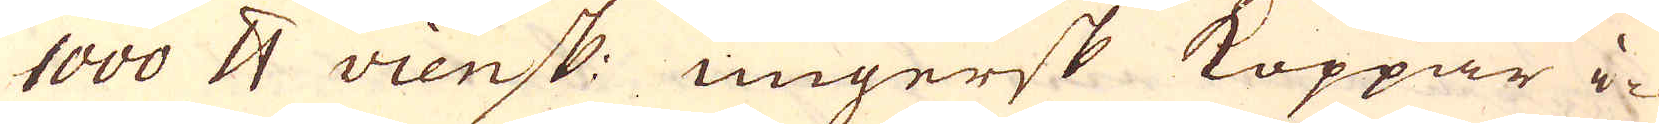1000 skålpund viensk: ungersk Koppar i-
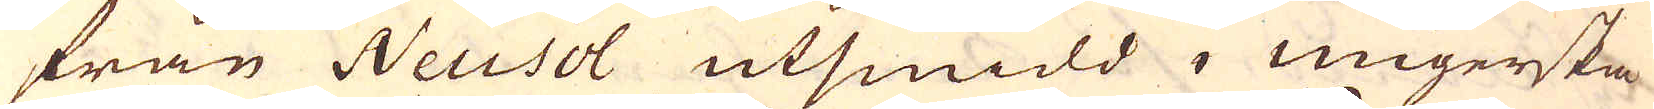från Neusol utsmidd i Ungerska
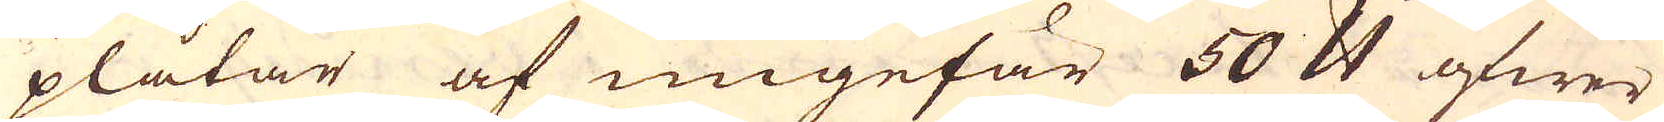plåtar af ungefär 50 skålpund öfwer
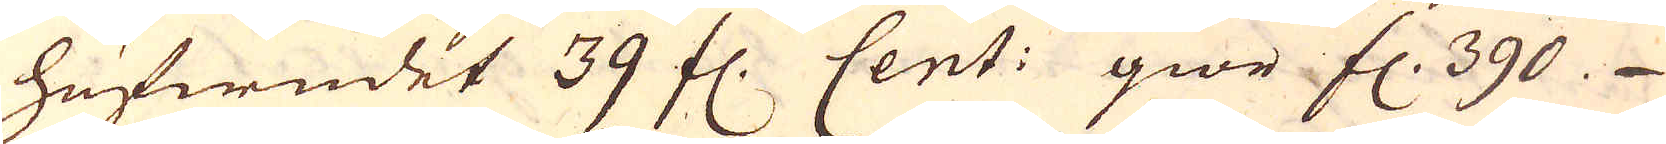hufwudet 39 fl. Cent: giör fl. 390.
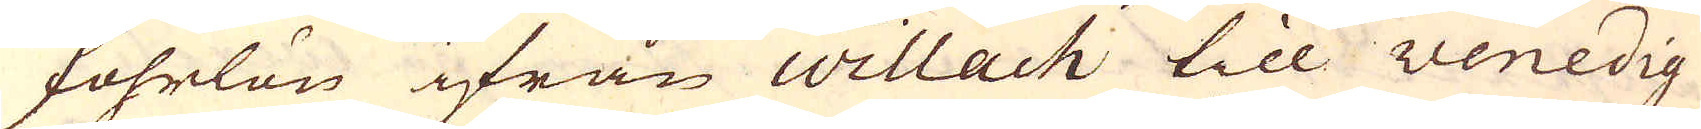Fohrlön ifrån Willach till Venedig
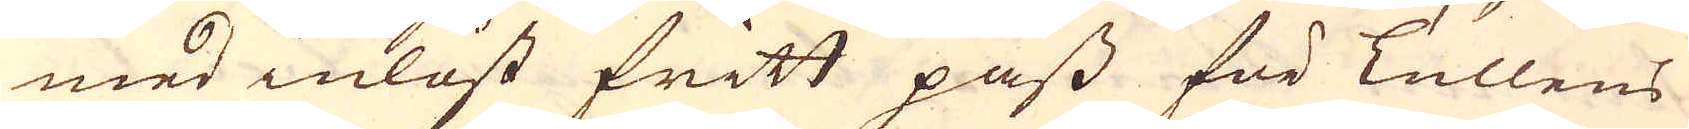med inlåst fritt pass för Tullens
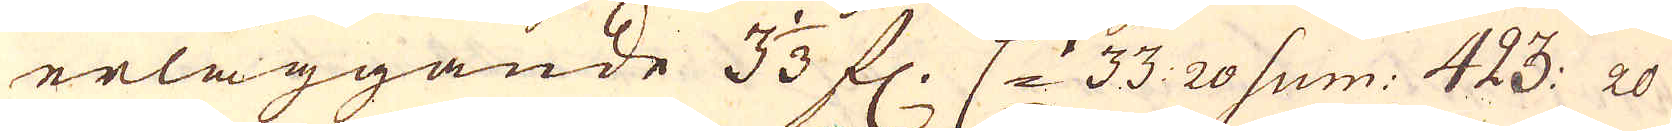erläggande 3 1/3 fl. C:t 33 20 sum: 423: 20
